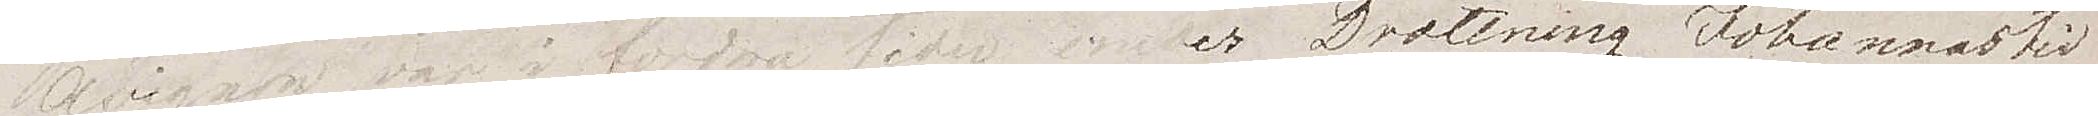Avignon var i fordna tider under Drottning Johannas tid
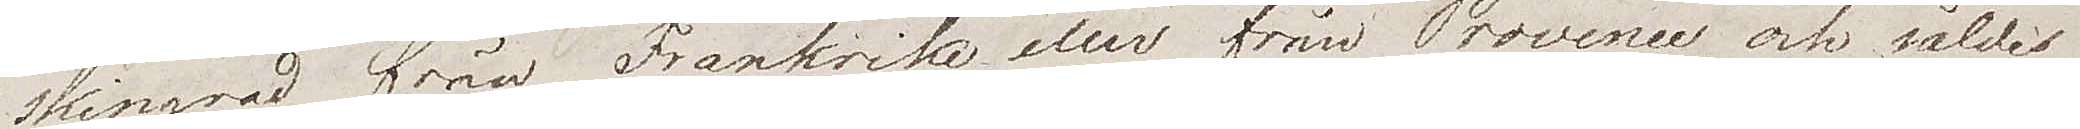skingrad från Frankrike eller från Provence och såldes
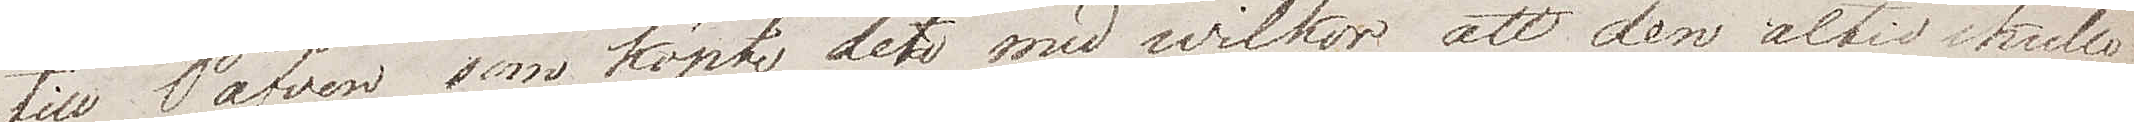till Påfven som köpte den med willkor att den altid skulle
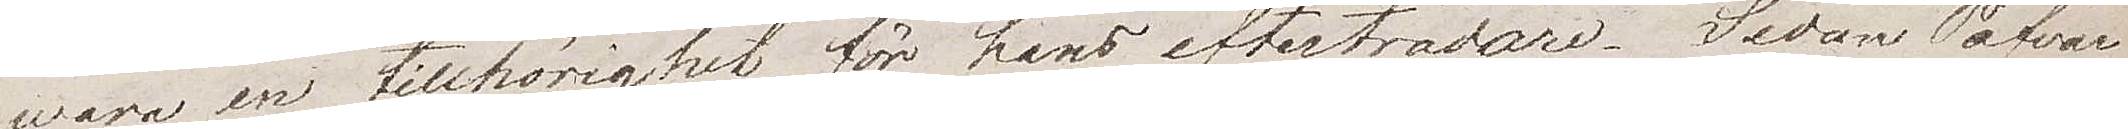wara en tillhörighet för hans efterträdare. Sedan Påfvar
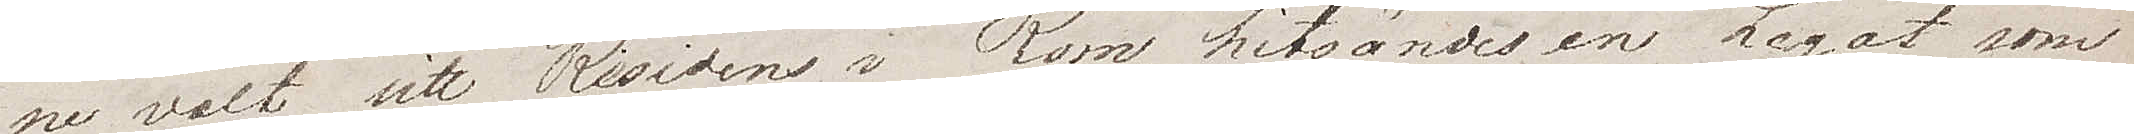nu valt sitt Residens i Rom, hitsändes en Legat som
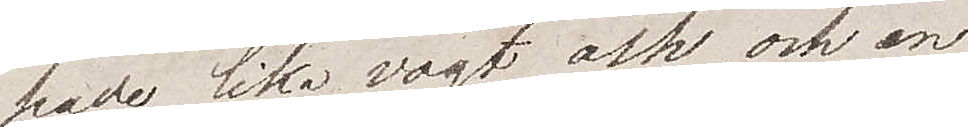hade lika vogt och en
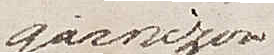garnizon
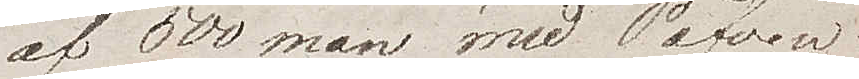av 500 man, med Påfven
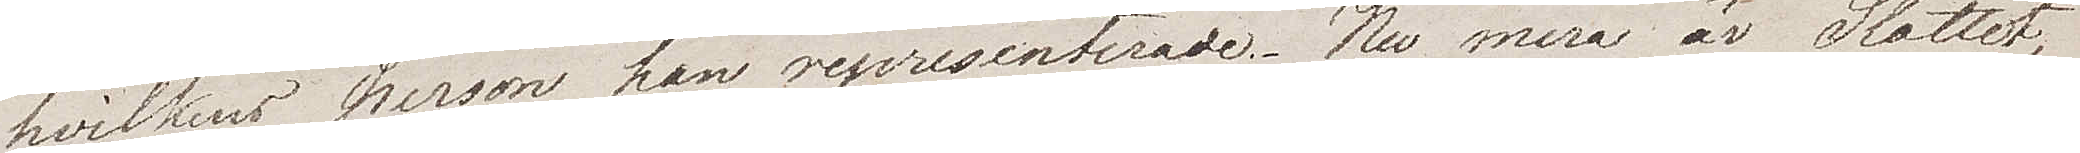hvilkens person han representerade. Nu mera är Slottet,
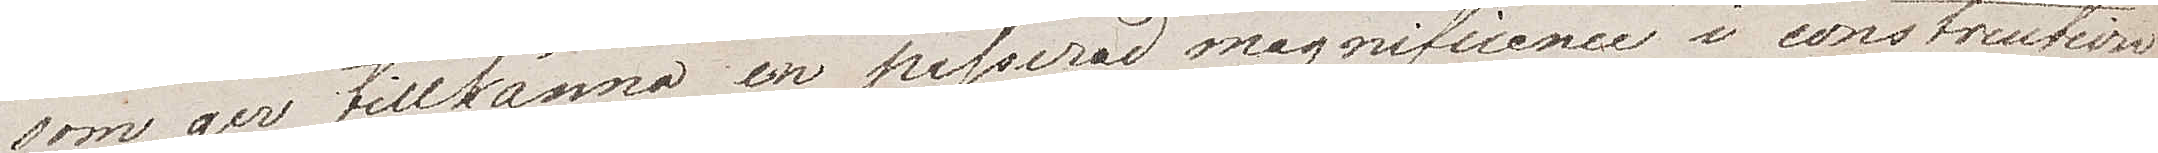som ger tillkänna en passerad magnificence i construction
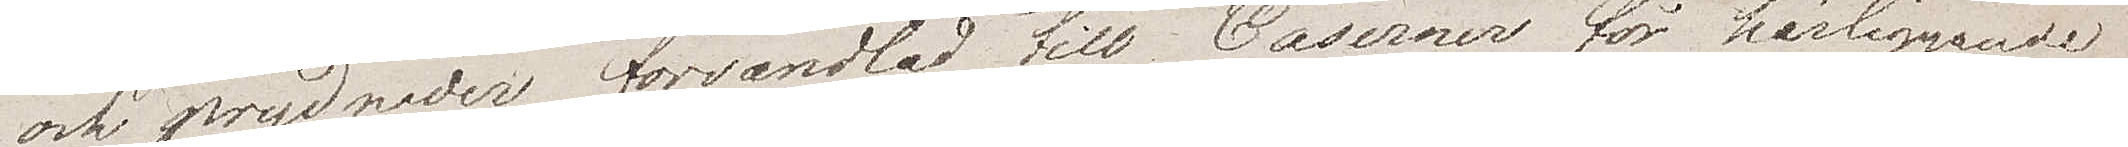och prydnader, förvandlat till Caserner för härliggande
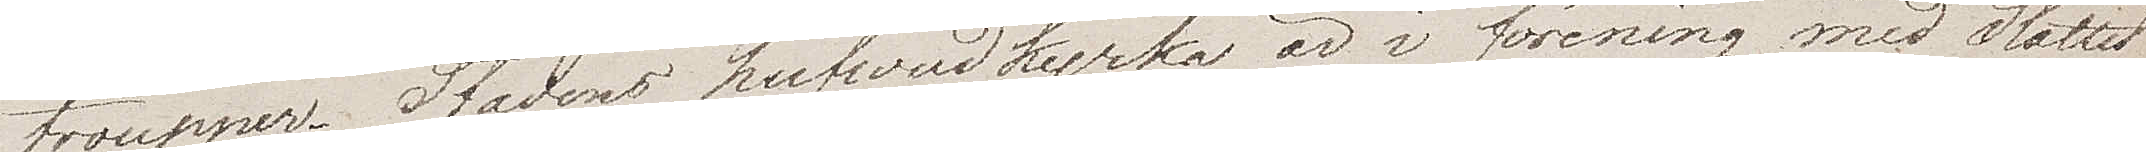trupper. Stadens hufvudkyrka är i förening med Slottet
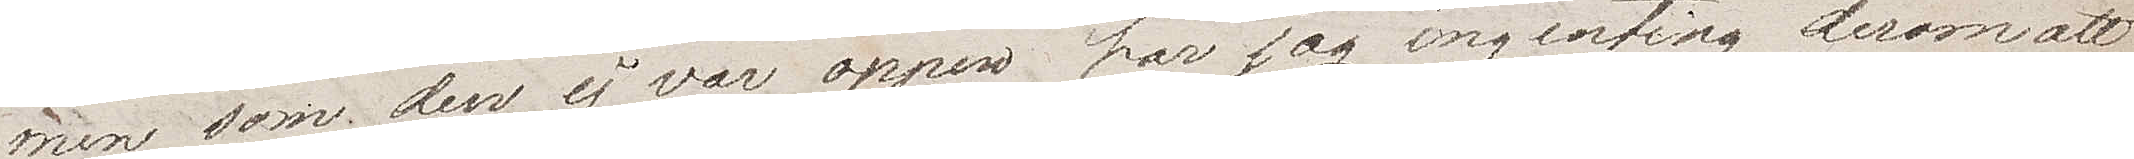men som den ej var öppen har jag ingenting derom att
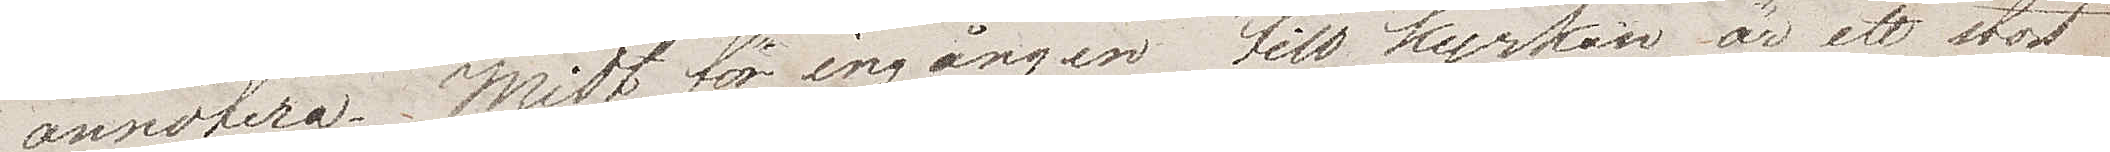annotera. Midt för ingången till Kyrkan är ett stort
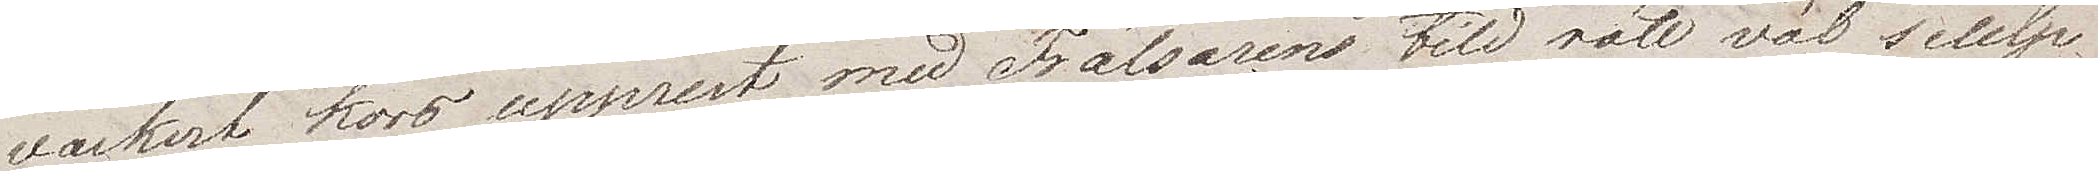vackert kors upprest med Frälsarens bild rätt väl sculp¬
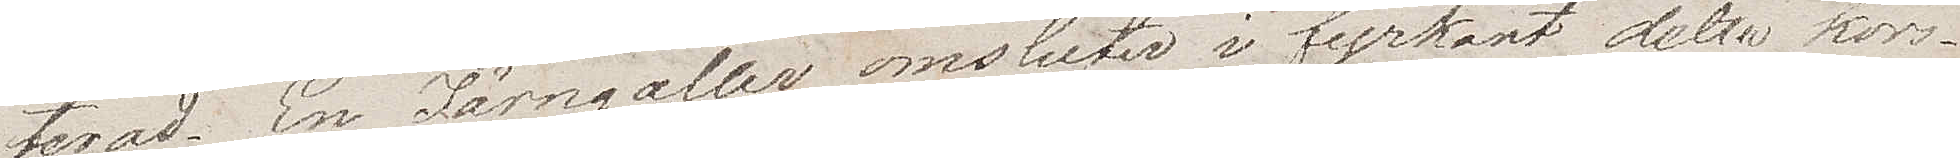terad. Ett järngaller omsluter i fyrkant detta kors.
